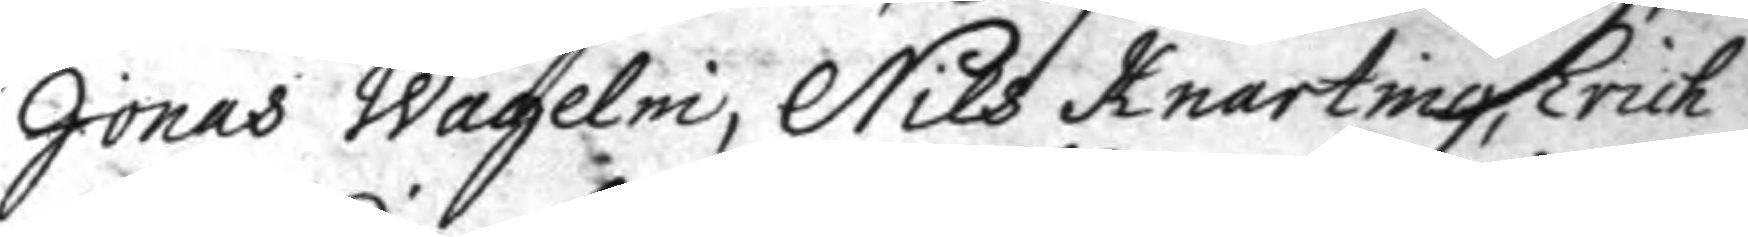Jonas Wagelni, Nils Knarting, Erich
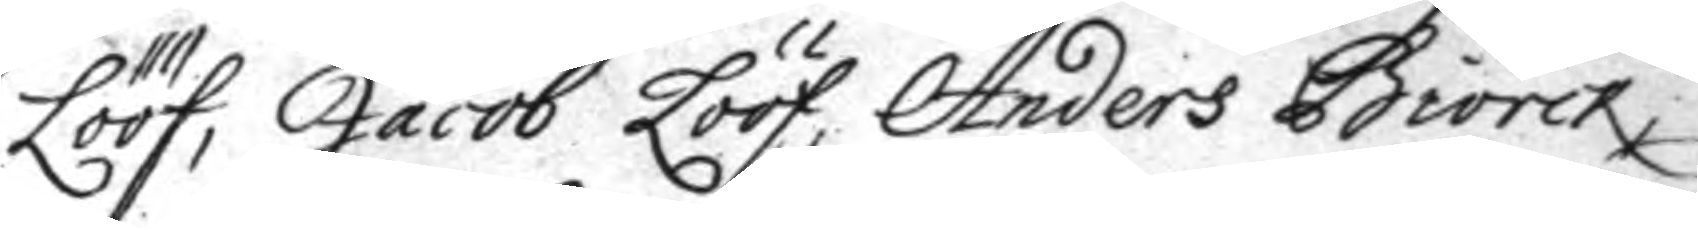Lööf, Jacob Lööf, Anders Biörck,
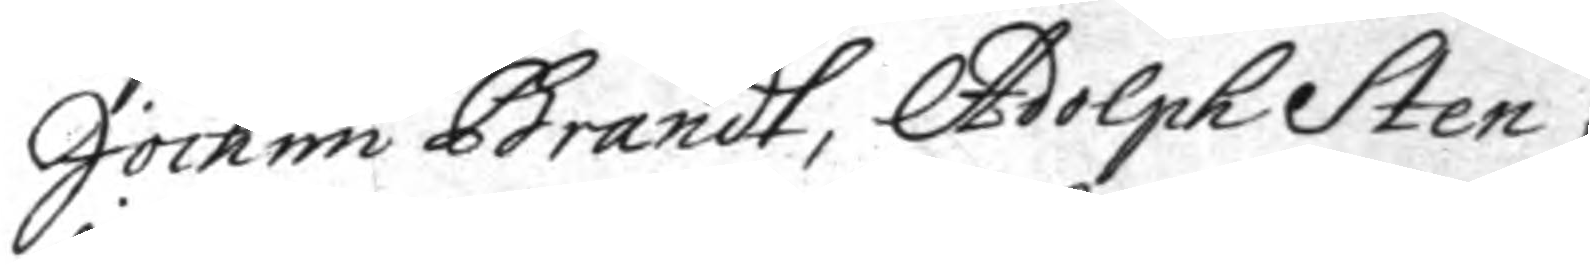Joacim Brandt, Adolph Sten,
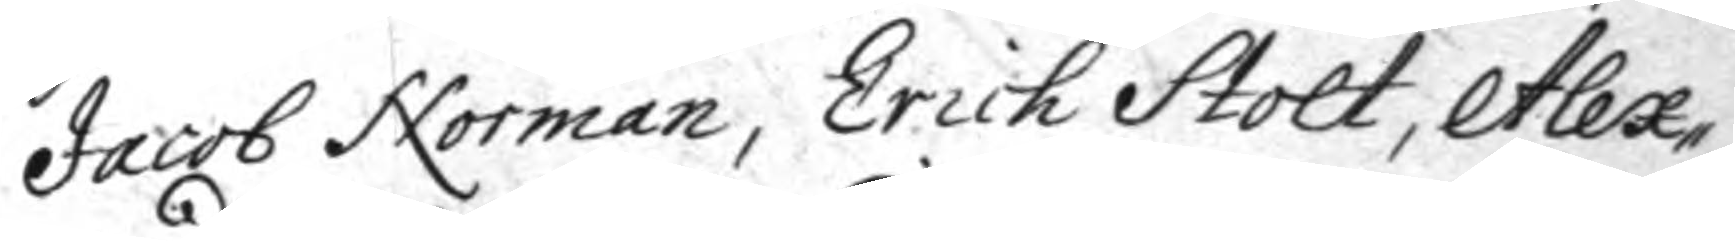Jacob Norman, Erich Stolt, Alex¬
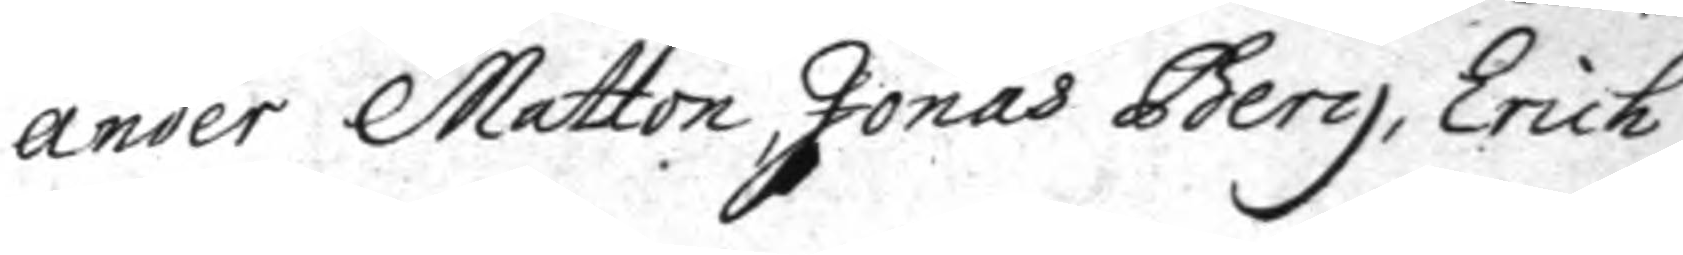ander Matton, Jonas Berg, Erich
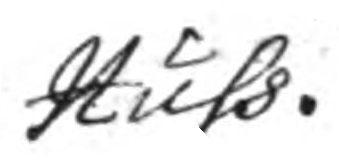Huhs.
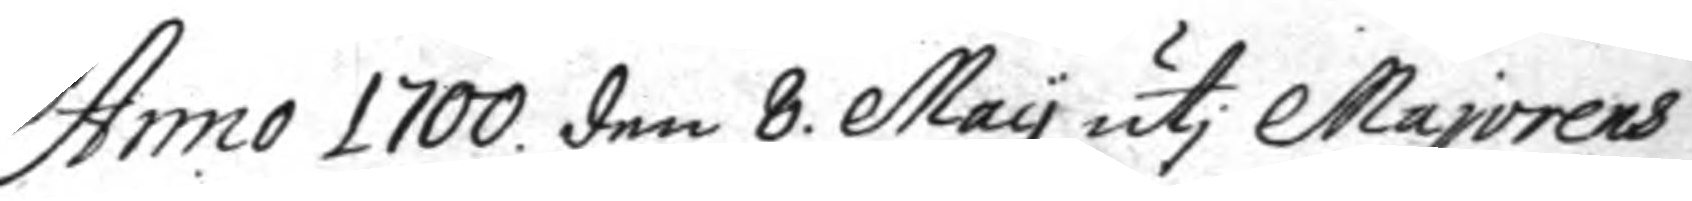Anno 1700 den 8. May uti Majorens
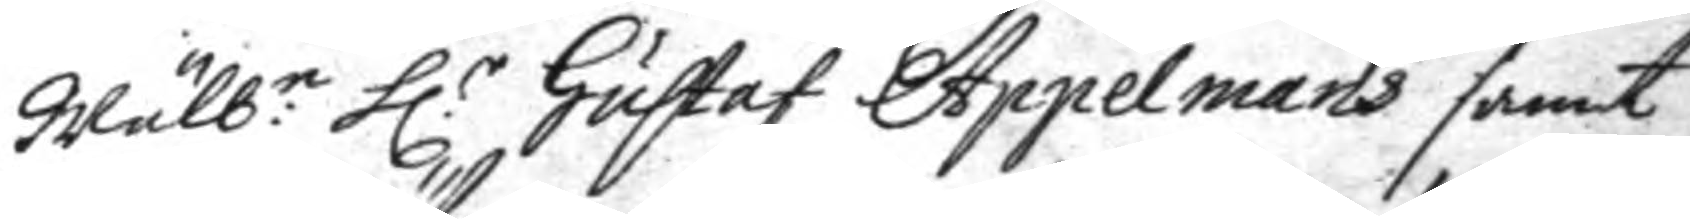Wälb.e h.r Gustaf Appelmans samt
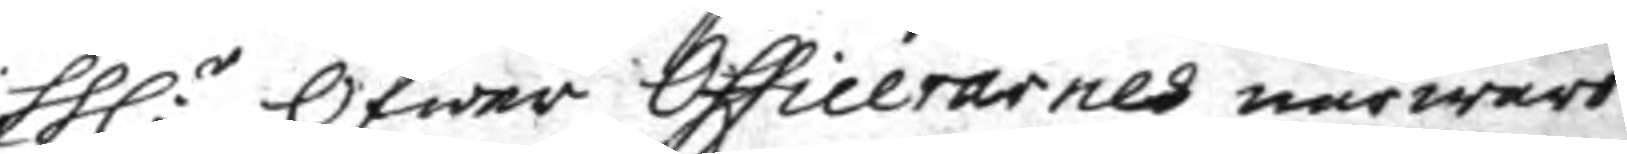hh:r Öfwer Officerarnes närwaro
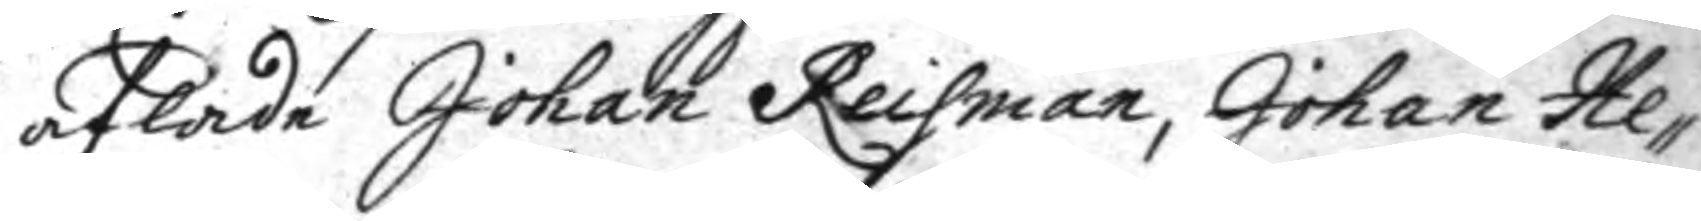aflade Johan Reisman, Johan He¬
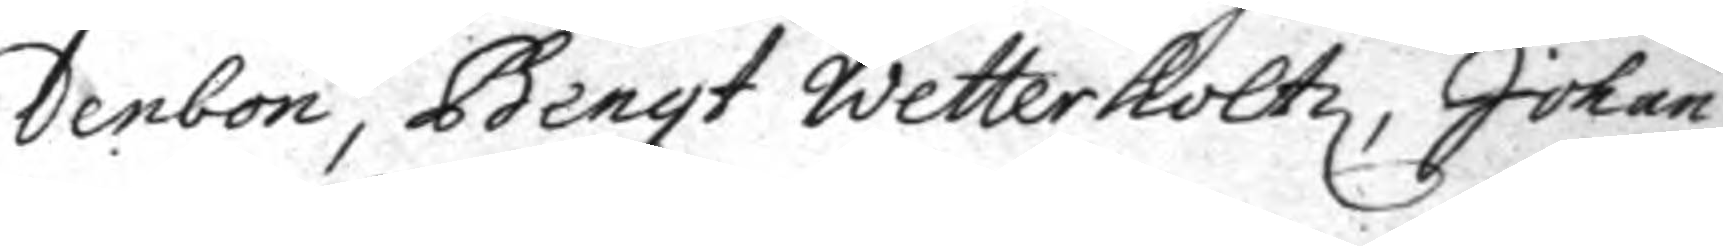denbon, Bengt Wetterholtz, Johan
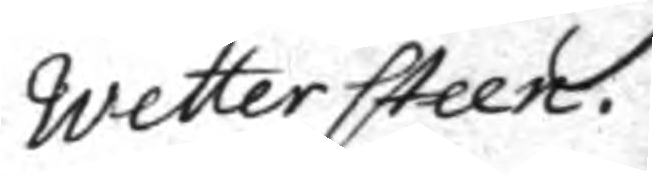Wettersteen.
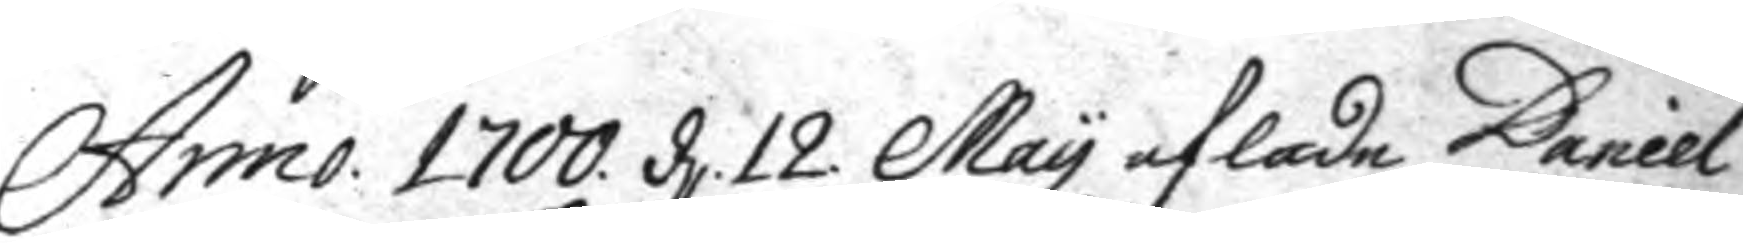Anno 1700. d. 12. May aflade Daniel
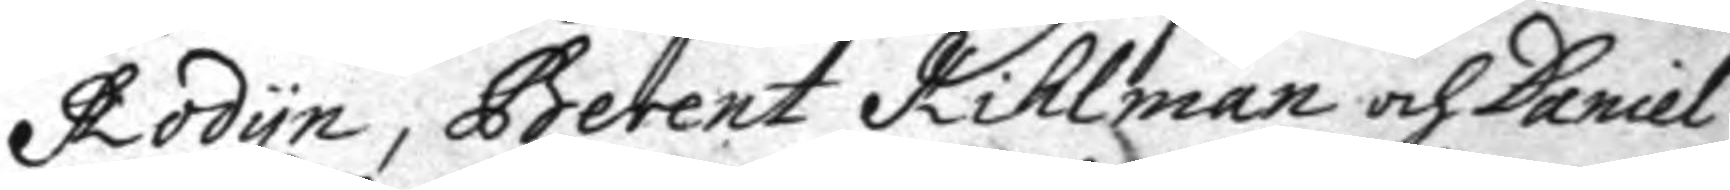Rodyn, Berent Kihlman och Daniel
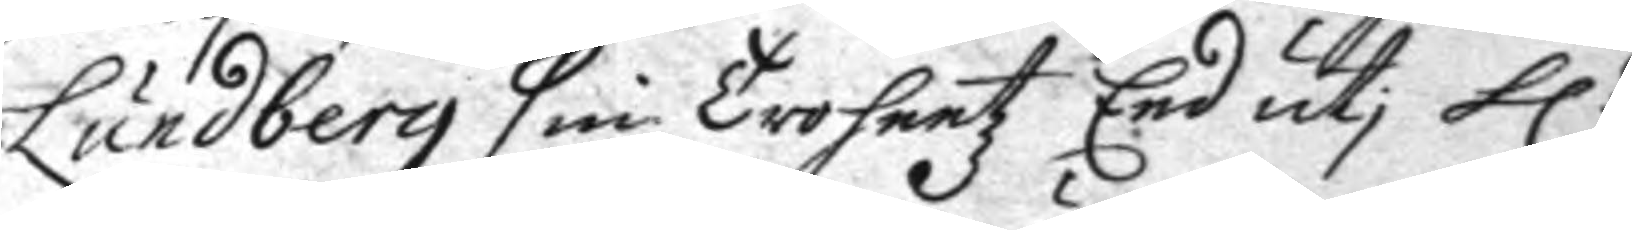Lundberg sin Trohetz Eed uti h:r
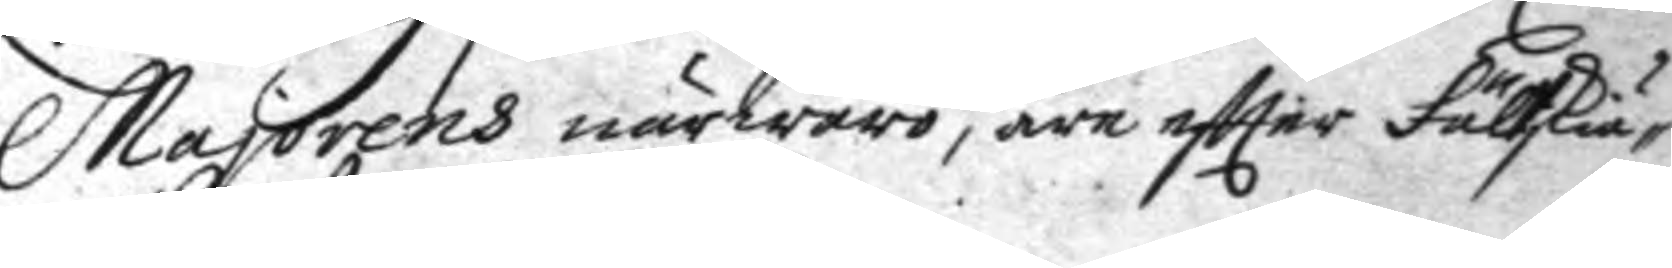Majorens närwaro, äre eftterFältskiär¬
